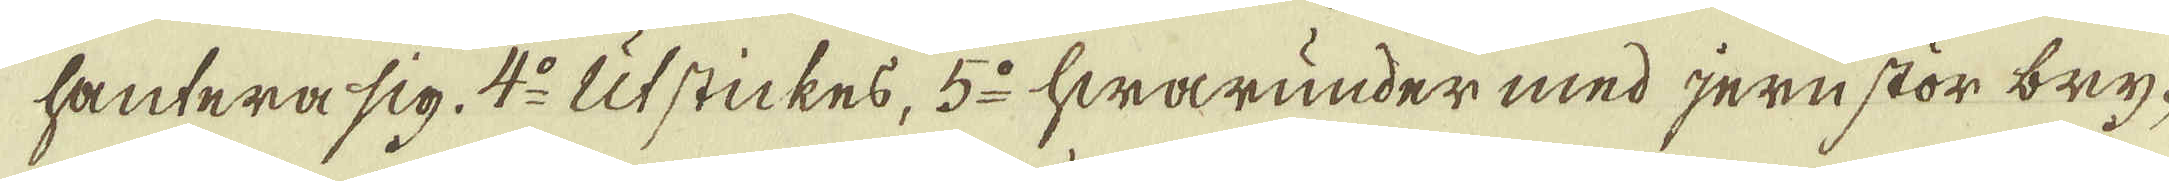hantera sig. 4:o Utstickes, 5:o hwarunder med jern stör bry-
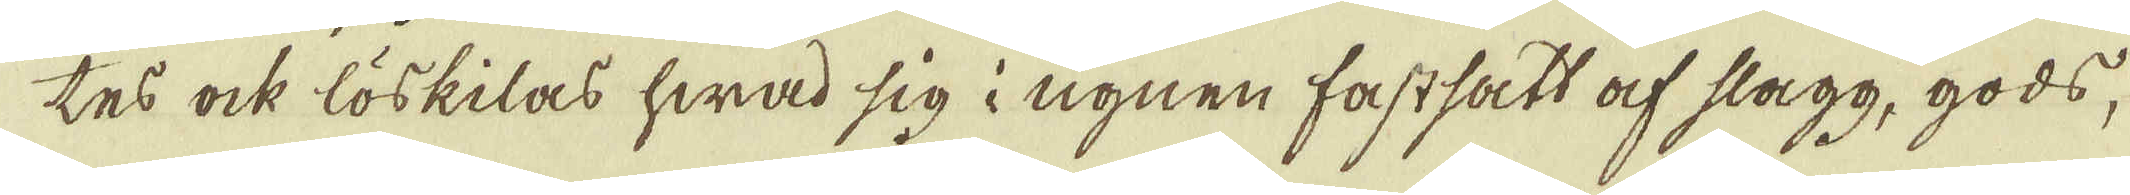tes ock löskilas hwad sig i ugnen fastsatt af slagg, gods,
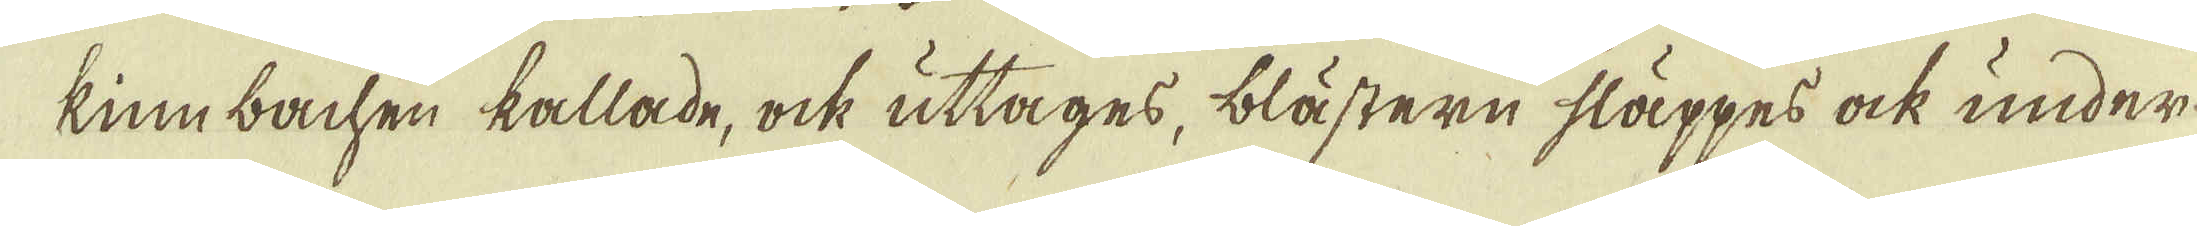kimbachen kallade, ock uttages, blästern släppes ock under-
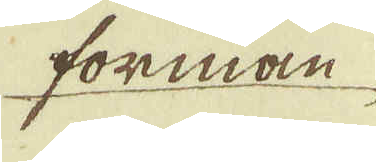forman
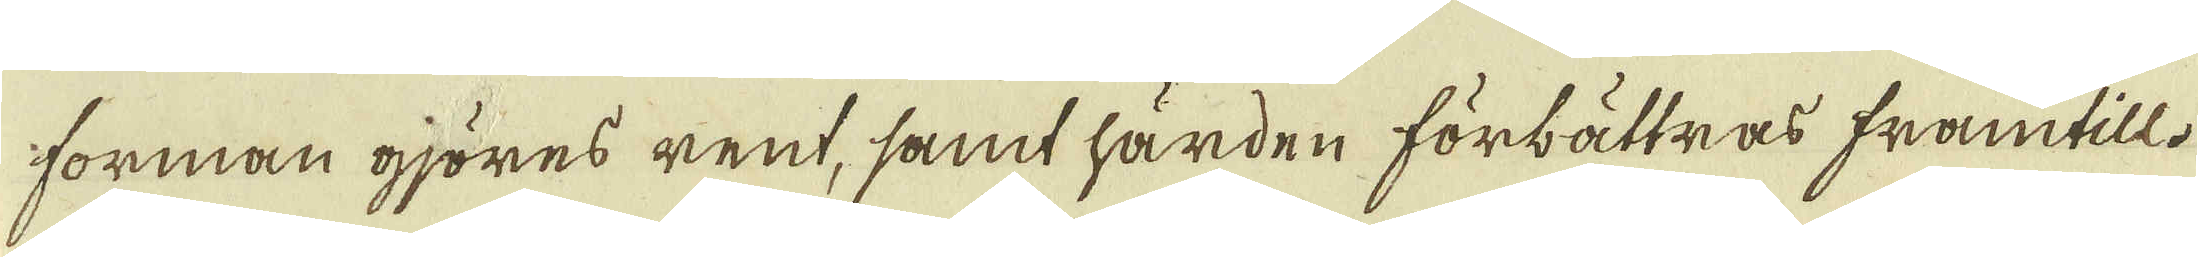forman gjöres rent, samt härden förbättras framtill.
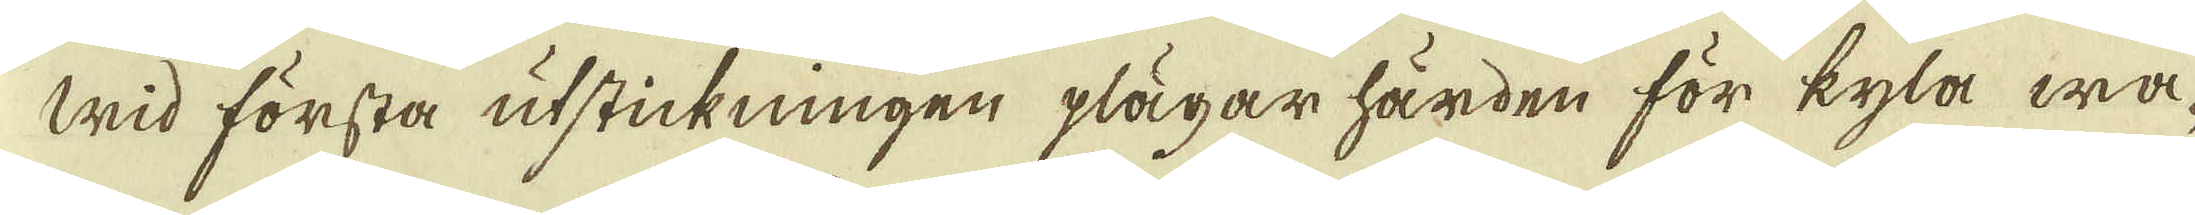Wid första utstickningen plägar härden för kyla wa-
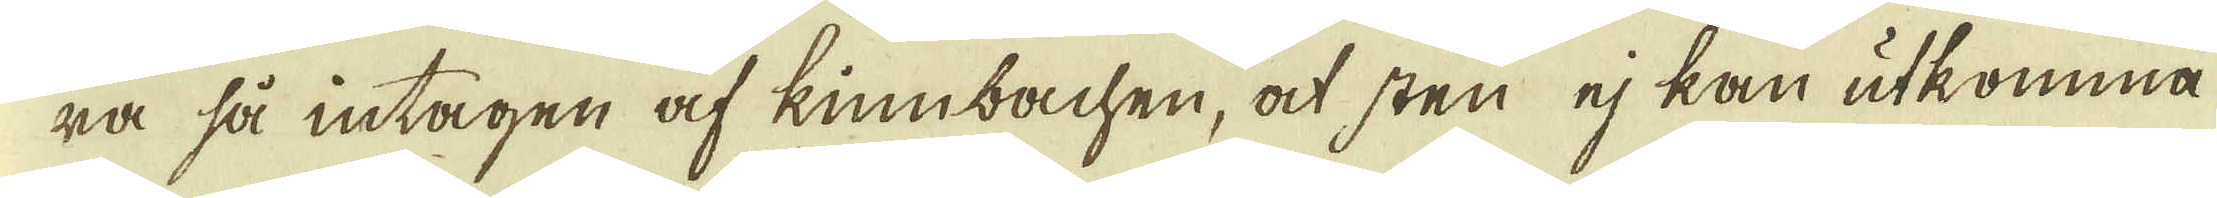ra så intagen af kimbachen, at sten ej kan utkomma
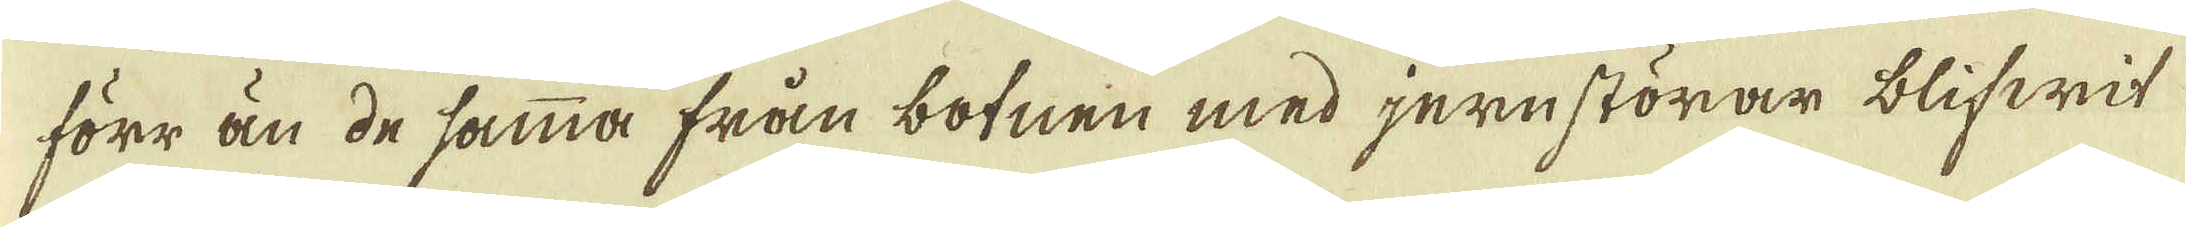förr än de samma från botnen med jernstörar blifwit
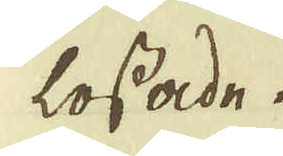lossade.
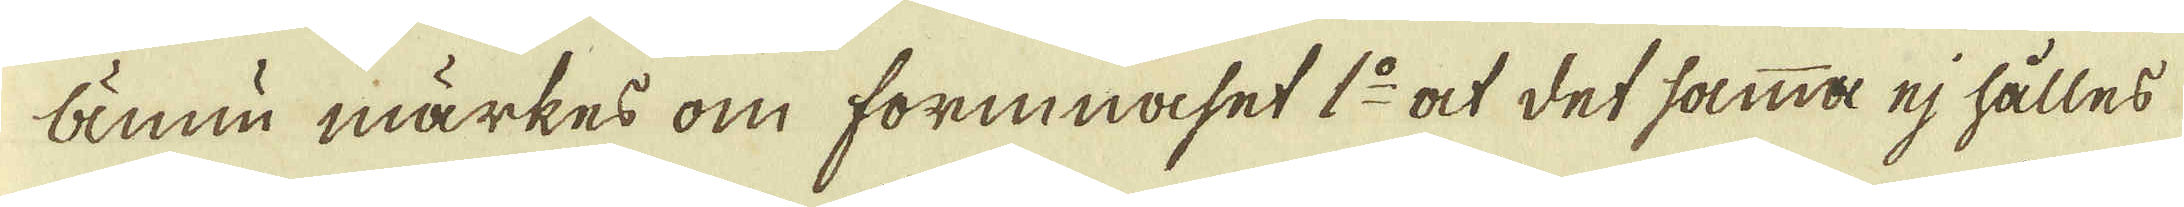Ännu märkes om forinnaset 1:o at det samma ej hålles
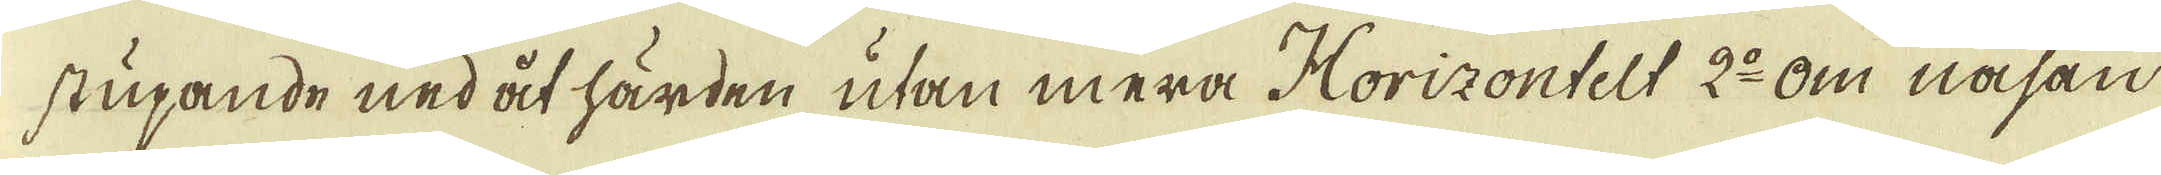stupande nedåt härden utan mera Horizontelt 2:o Om näsan
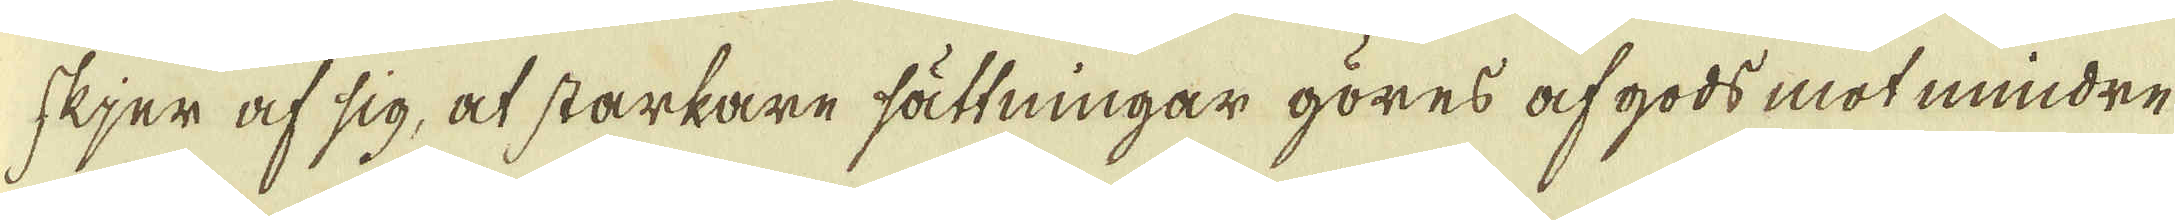skjer af sig, at starkare sättningar göres af gods mot mindre
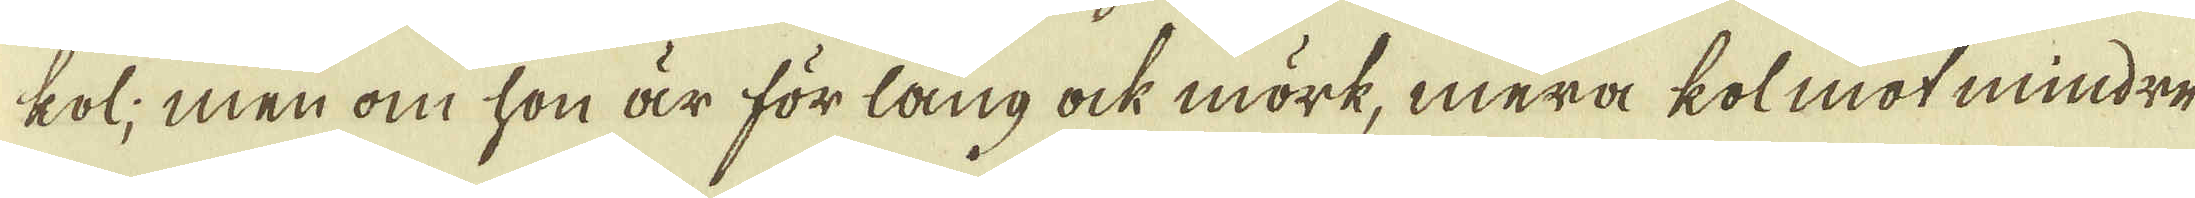kol; men om hon är för lång ock mörk, mera kolmot mindre
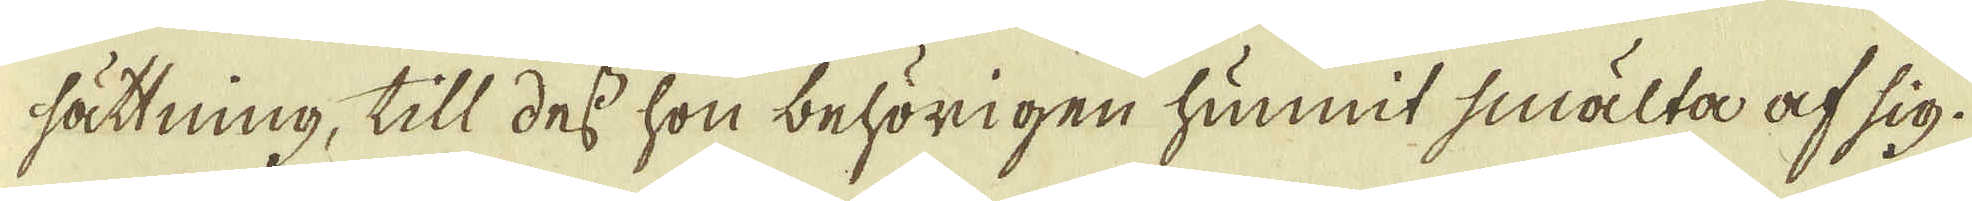sättning, till dess hon behörigen hunnit smälta af sig.
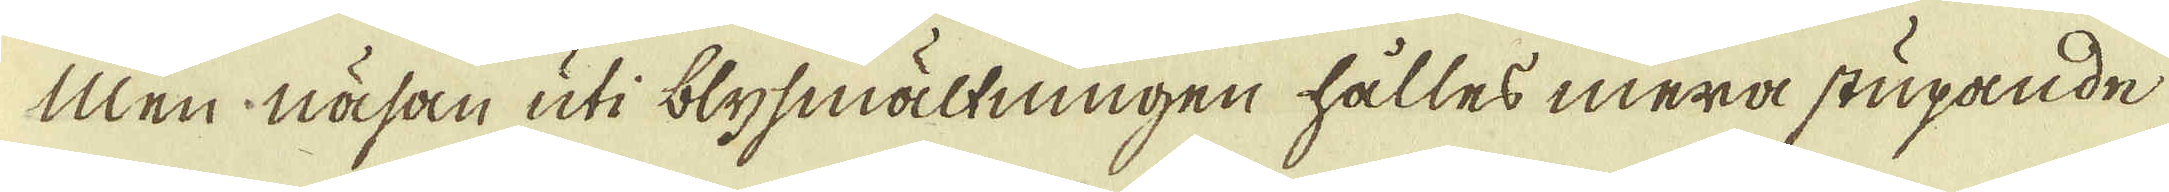Men näsan uti blysmältningen hålles mera stupande
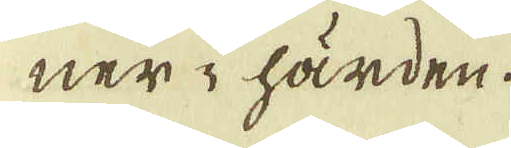ner i härden.
